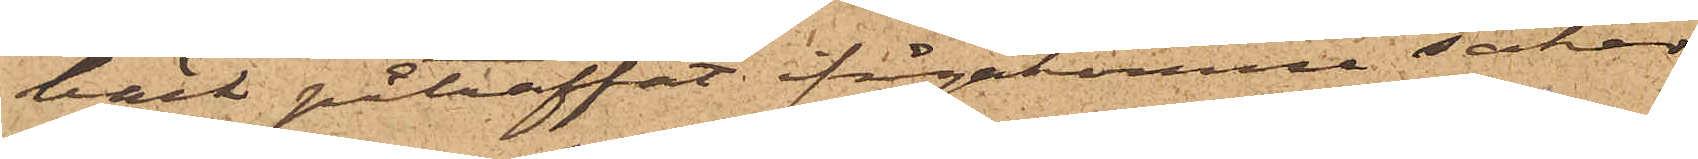bäck påträffat ifrågakomne saker
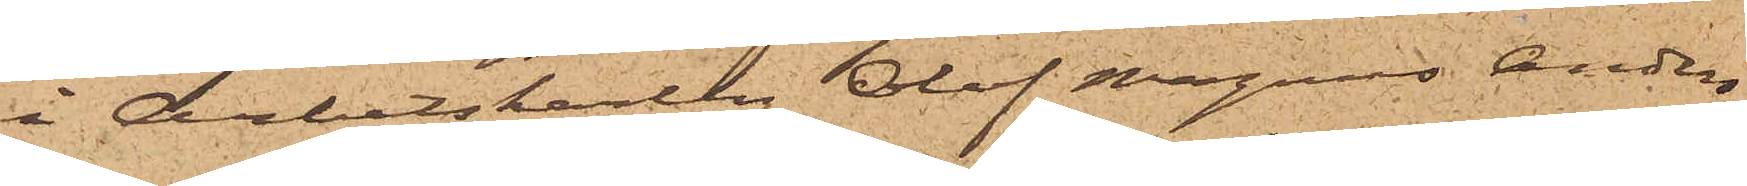i Arbetskarlen Olof Magnus Anders¬
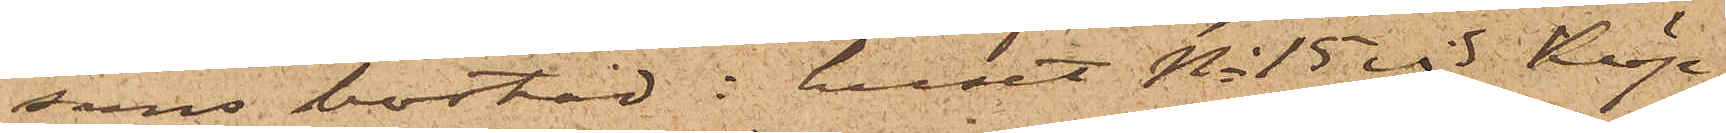sons bostad i huset No 15 vid Köp¬
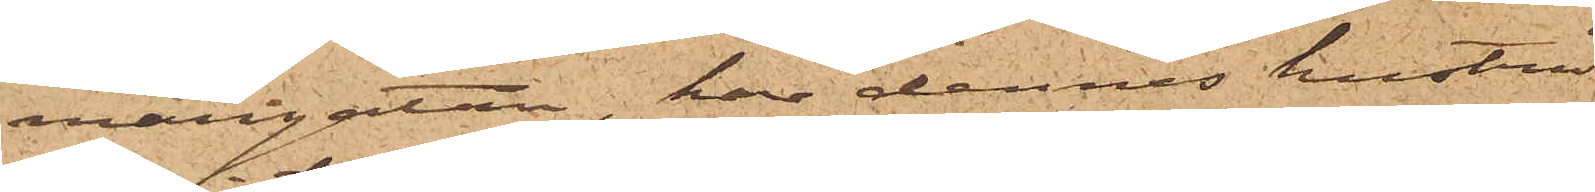mangatan, har dennes hustru
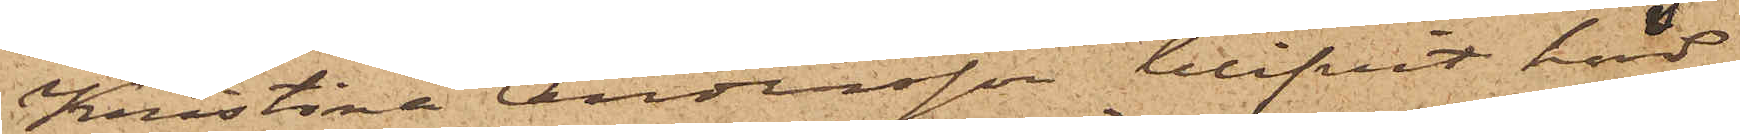Kristina Andersson blifvit hörd,
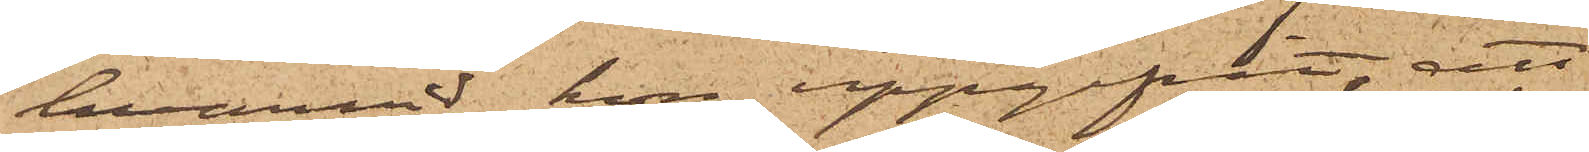hvarvid hon uppgifvit, att
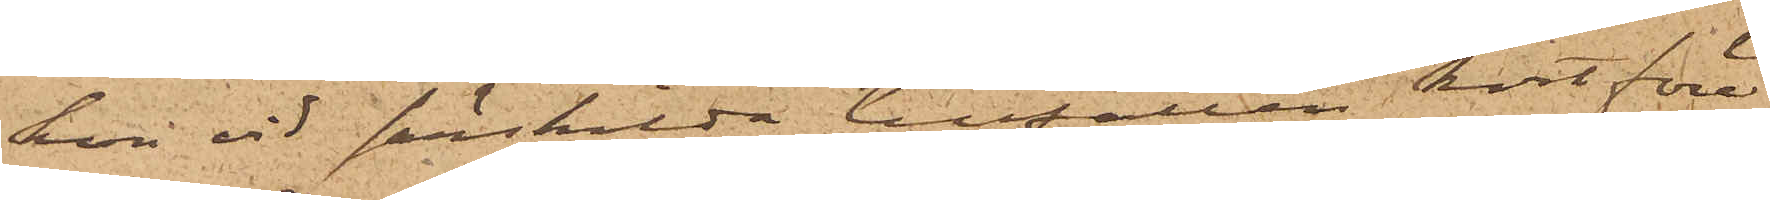hon vid särskilda tillfällen kort före¬
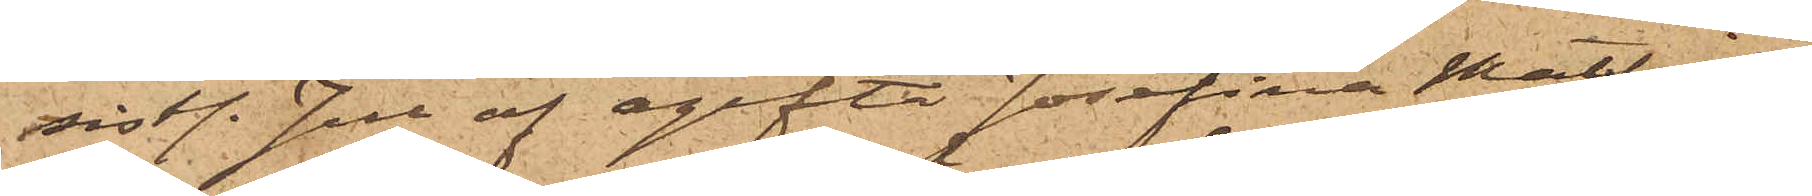sistl. Jul af ogifta Josefina Mathil¬
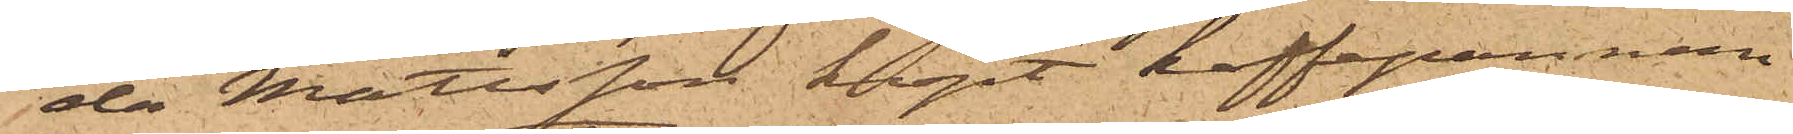da Mattsson köpt kaffepannan¬
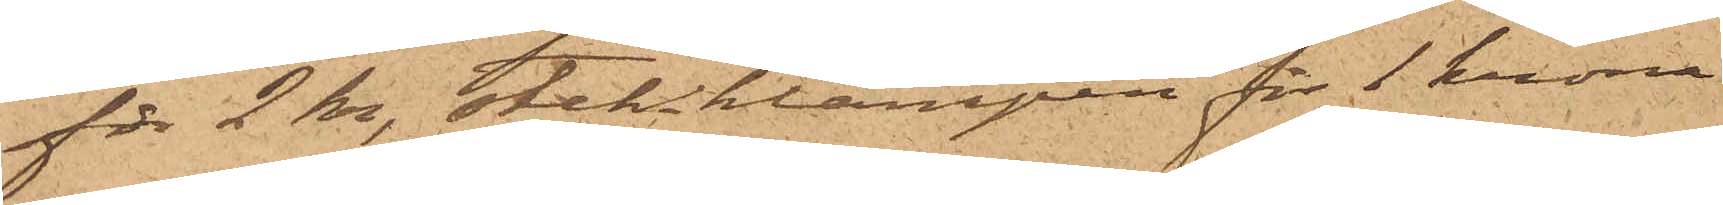för 2 kr, stek-klampen för 1 krona
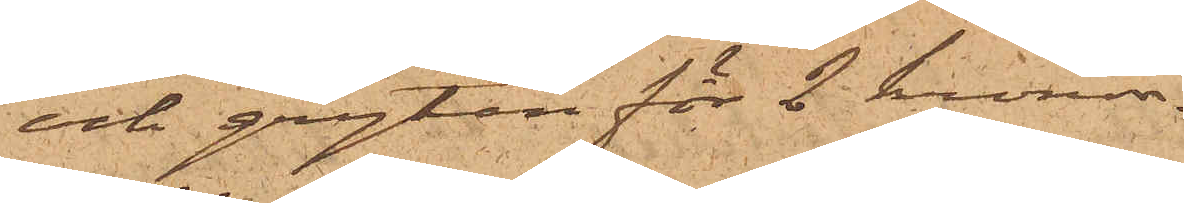och grytan för 2 kronor.
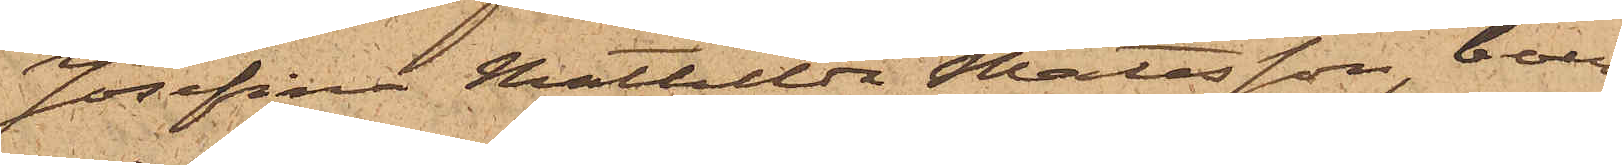Josefina Mathilda Mattsson, boen¬
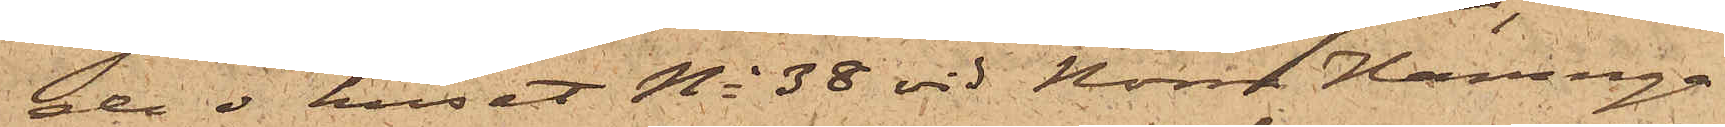gen i huset No 38 vid Norra Hamnga¬
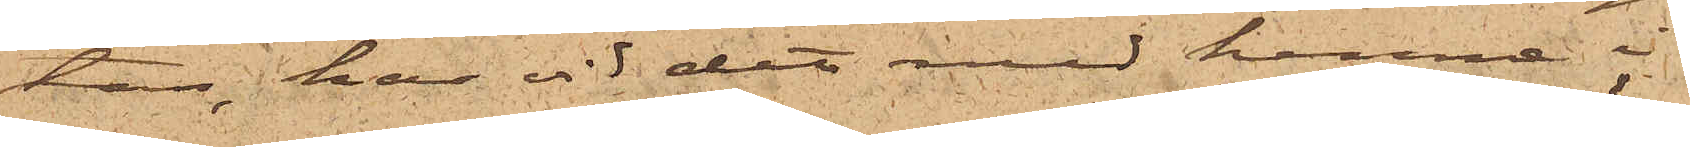tan, har vid det med henne i
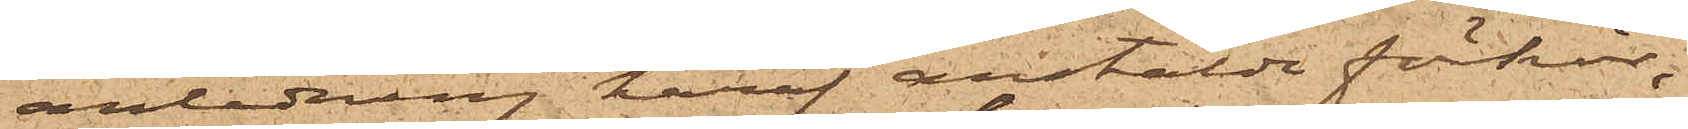anledning häraf anstälde förhör,
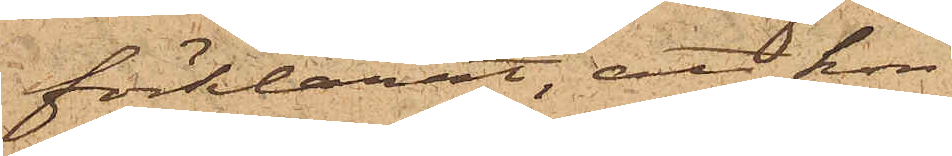förklarat, att hon
